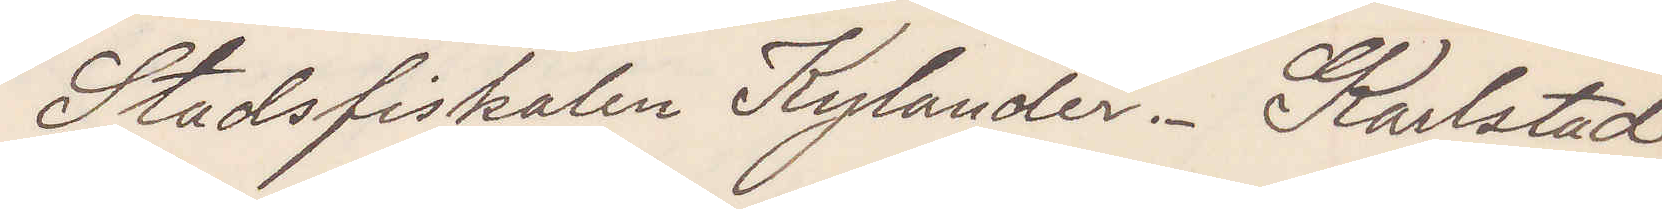Stadsfiskalen Kylander. Karlstad.
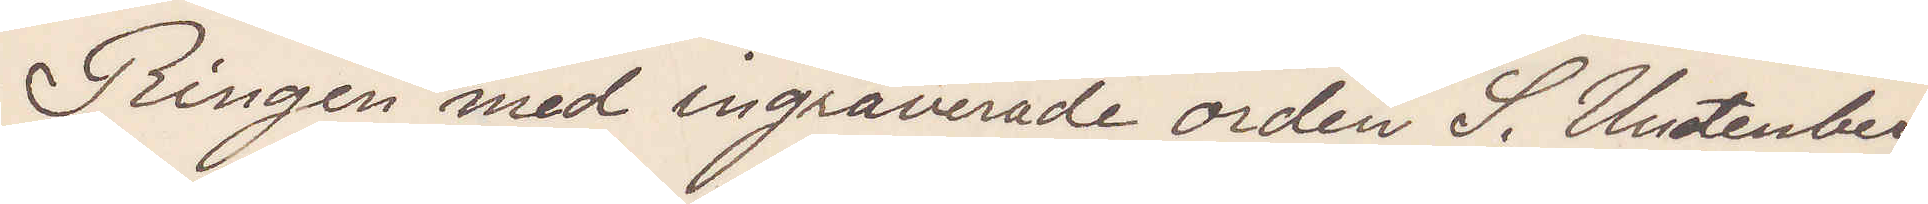Ringen med ingraverade orden S Undenberg
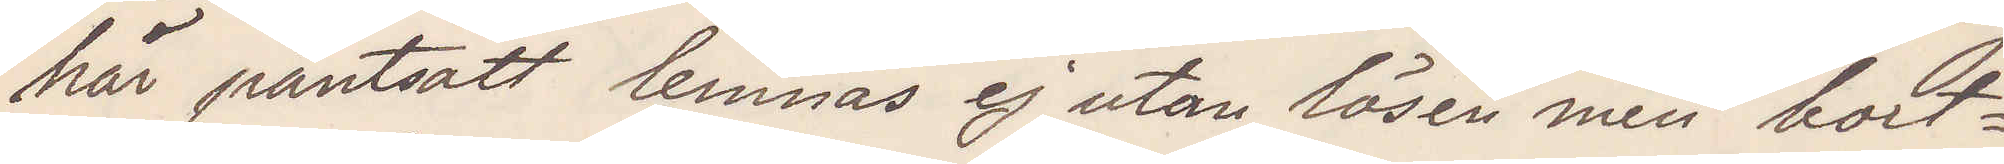här pantsatt lemnas ej ut utan lösen men bort¬
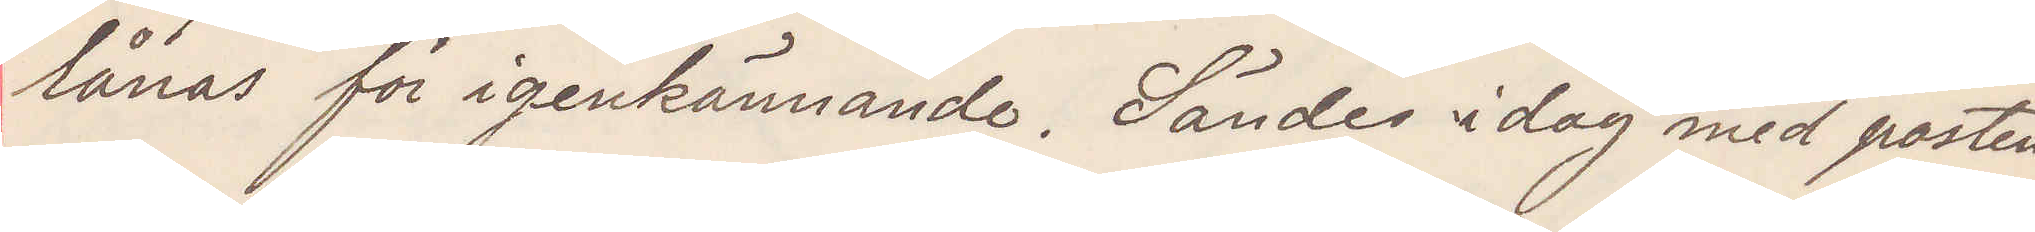lånas för igenkännande. Sändes idag med posten
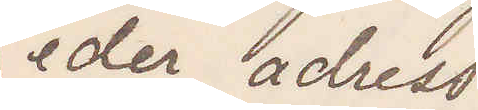eder adress
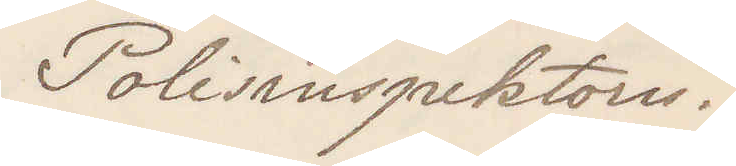Polisinspektorn.
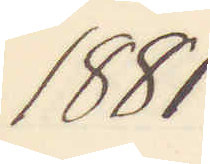1881
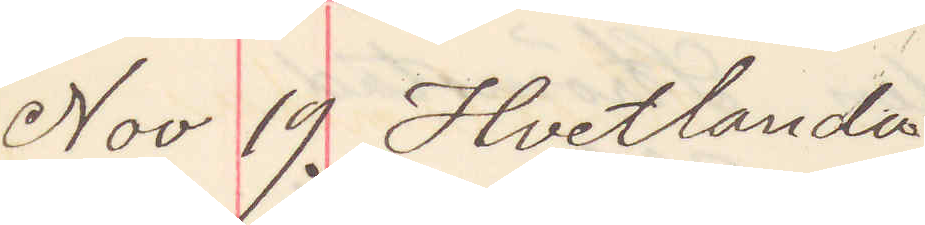Nov 19. Hvetlanda
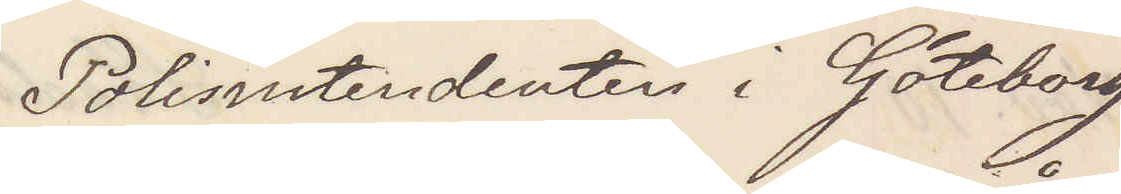Polisintendenten i Göteborg
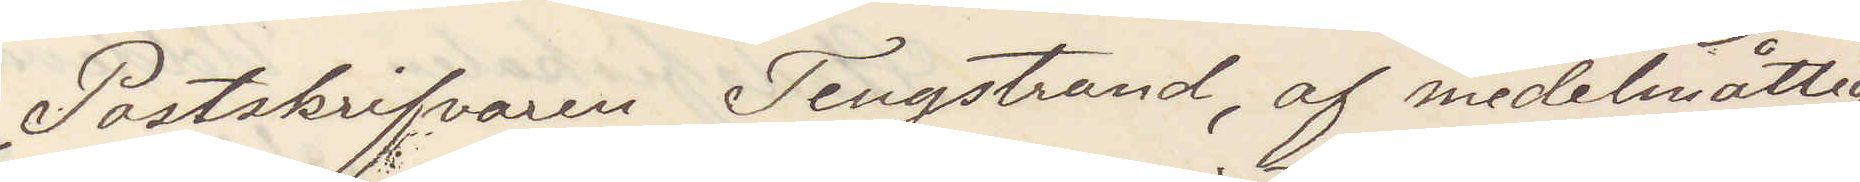Postskrifvaren Tengstrand af medelmåttig
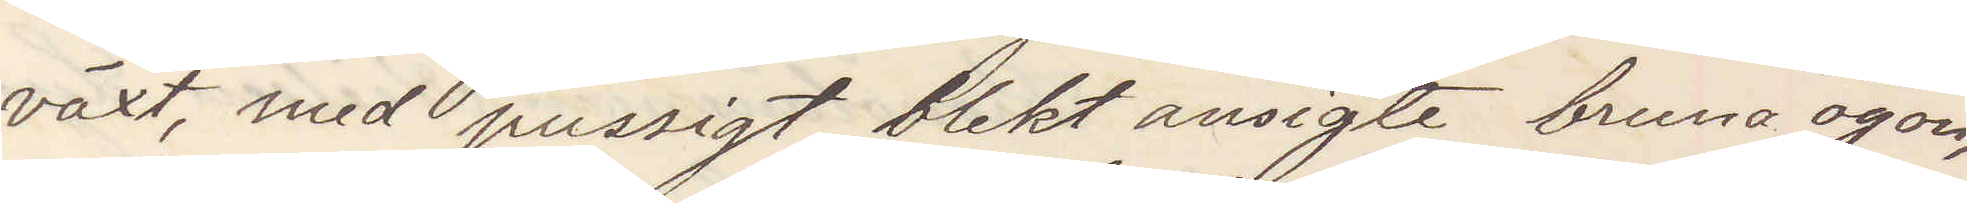växt med pussigt blekt ansigte bruna ögon,
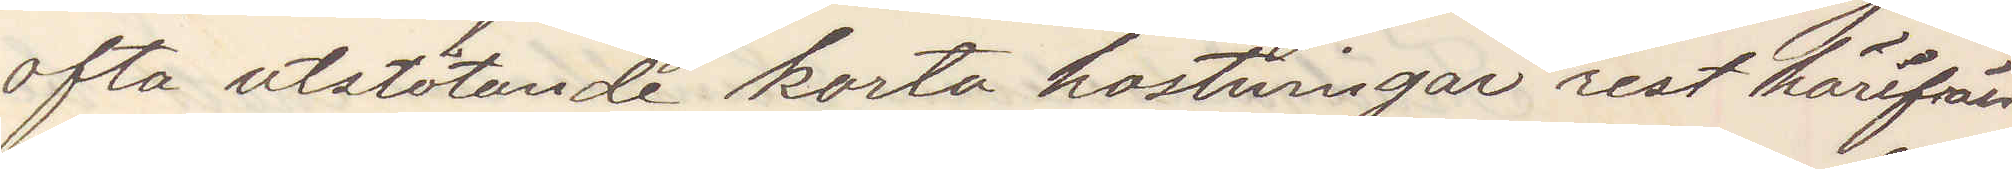ofta utstötande korta hostningar rest härifrån
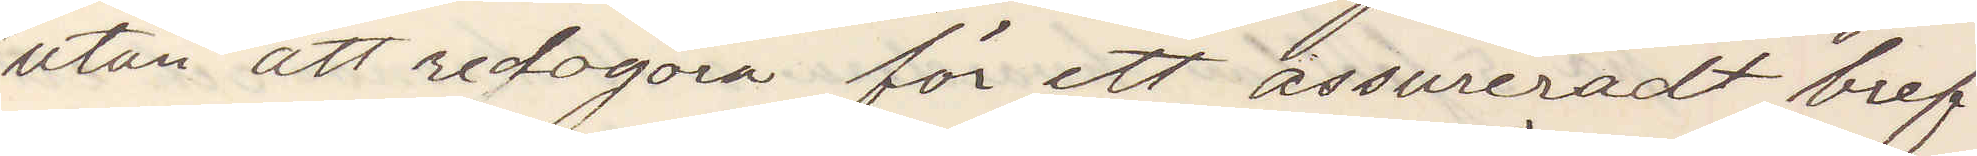utan att redogöra för ett assureradt bref
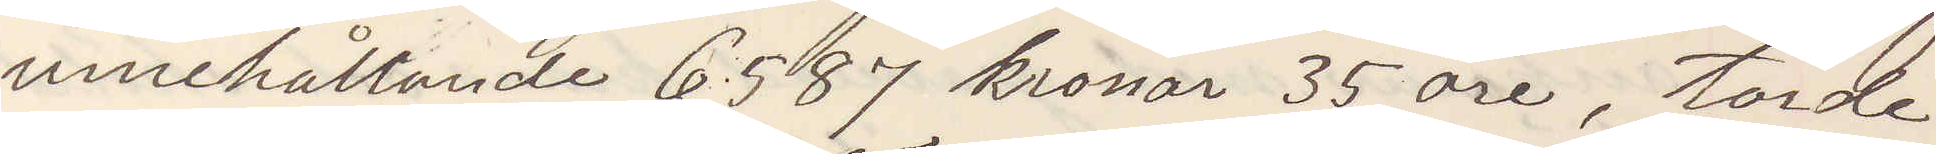innehållande 6587 kronor 35 öre, torde
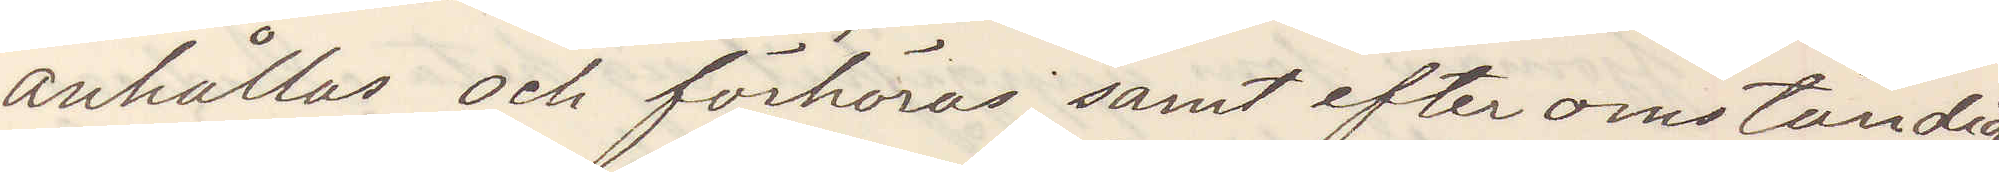anhållas och förhöras samt efter omständig¬
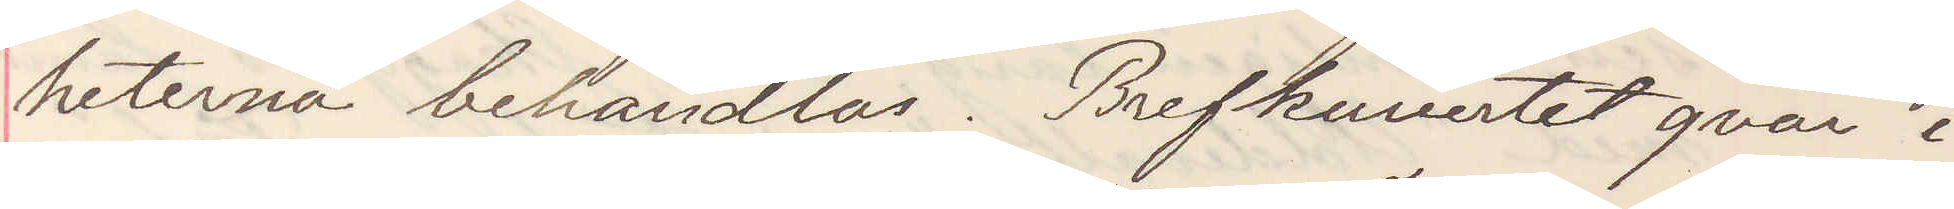heterna behandlas. Brefkuvertet qvar i
